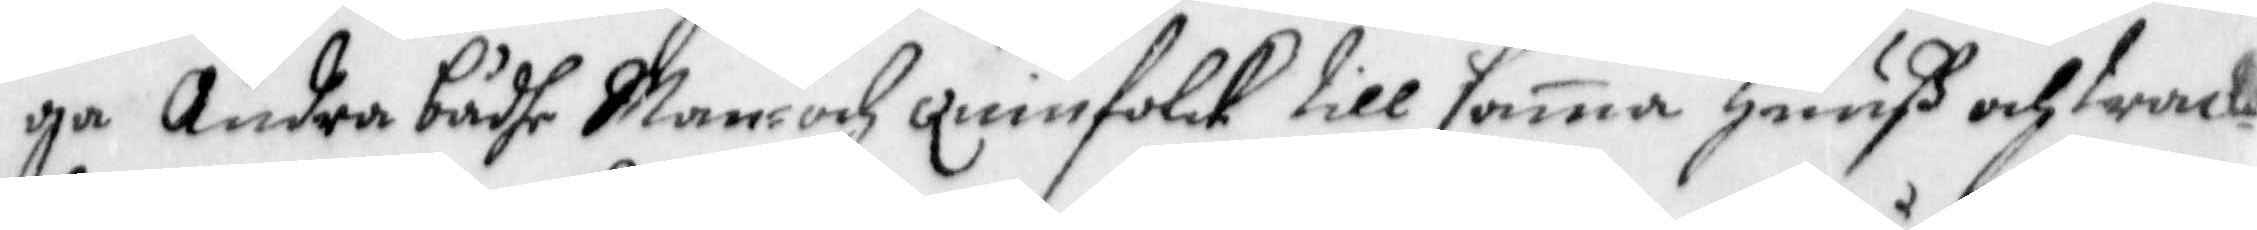ga Andra bådhe Man- och Quinfolck till sama Huuß och track¬
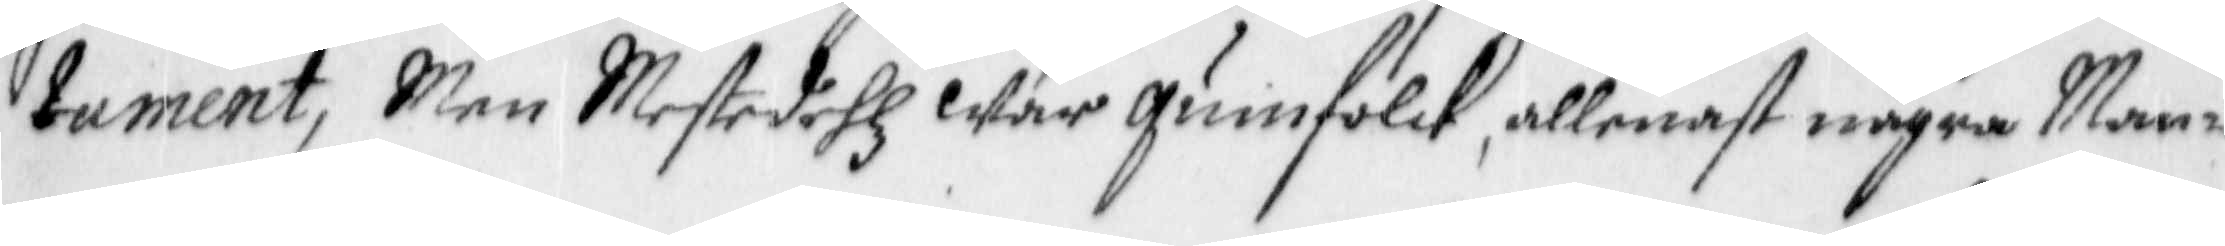tament, Men Mestedehlz war quinfolck, allenast några Man¬
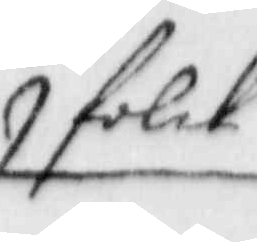folck
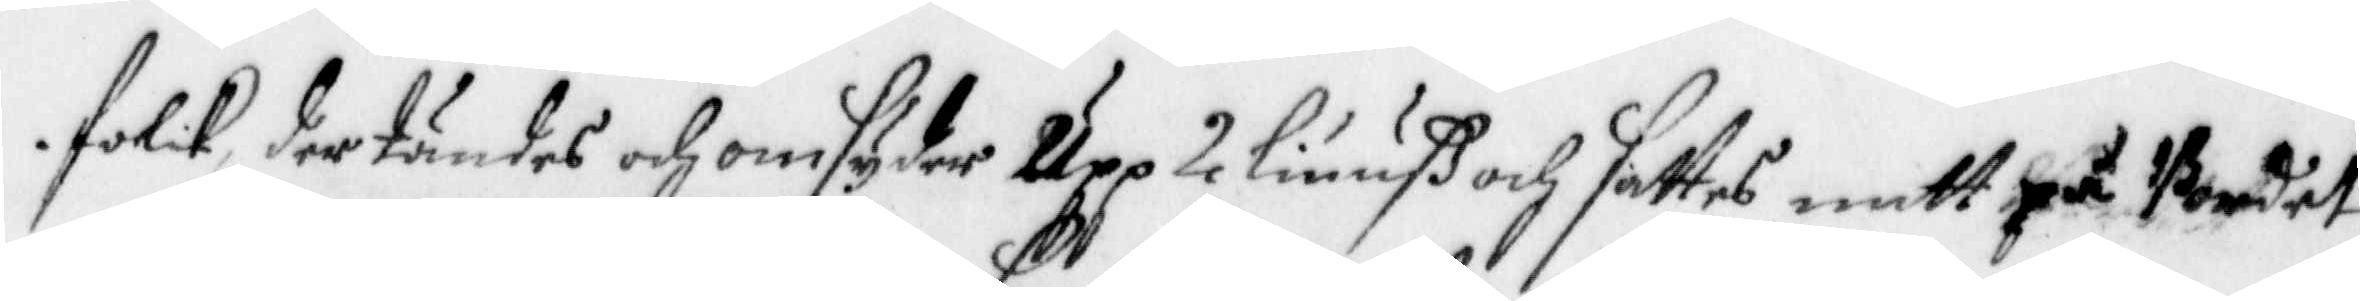folck, der tändes och omsyder Upp 2 liuuß och sattes mitt på Bordet
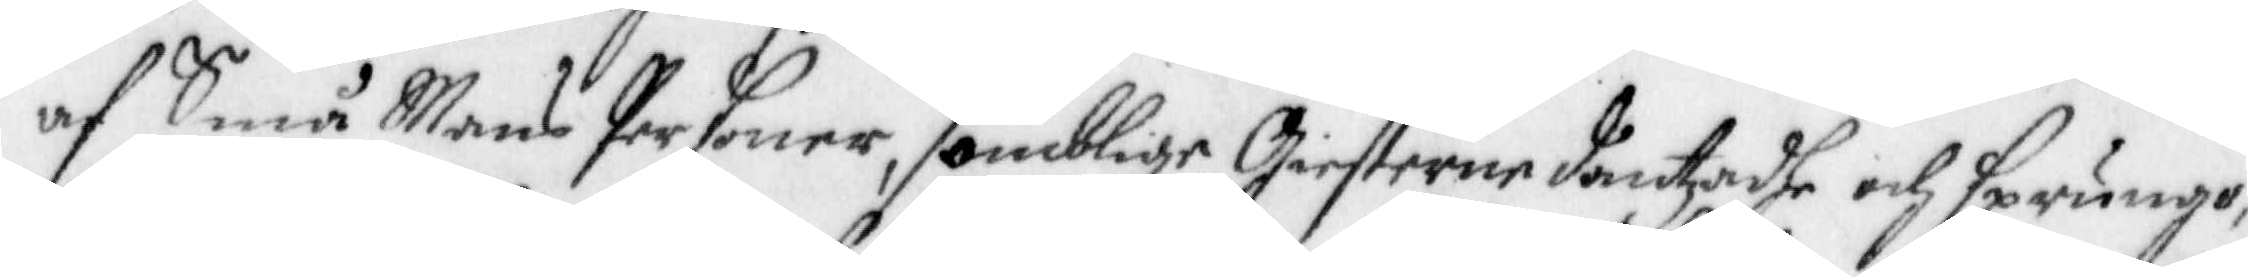af Små Mans Personer, somblige Giesterne dantzadhe och sprungo
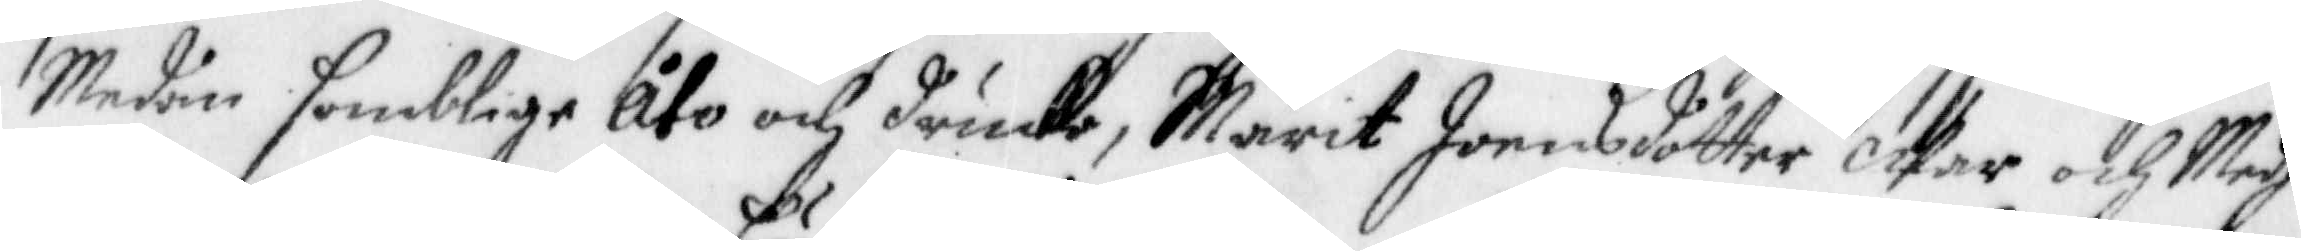Medan somblige åto och drucke, Marit Joensdotter War och Medh
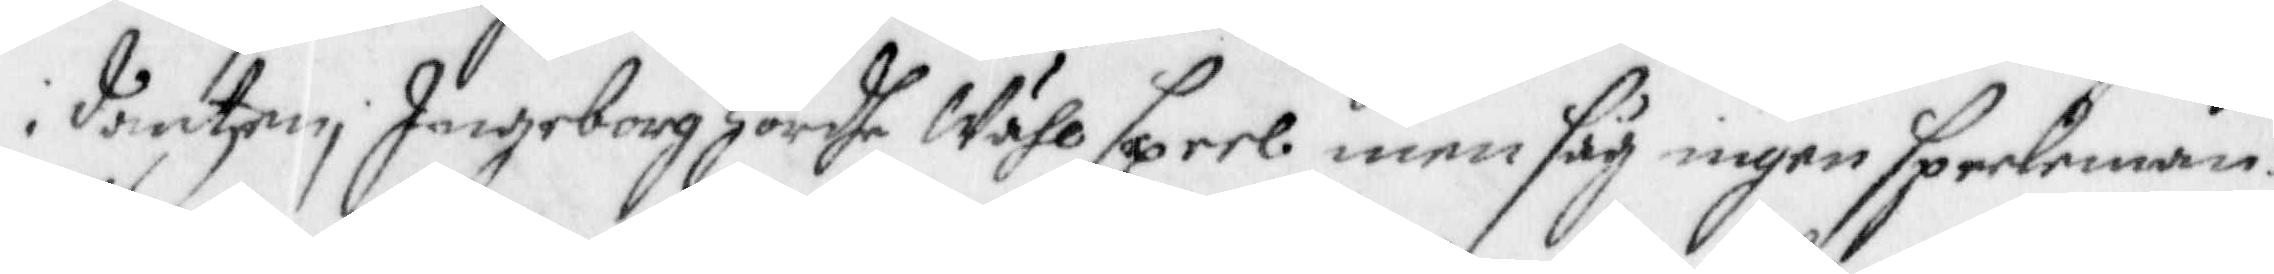i dantzen, Ingeborg Hördhe Wähl speel, men såg ingen speeleman:
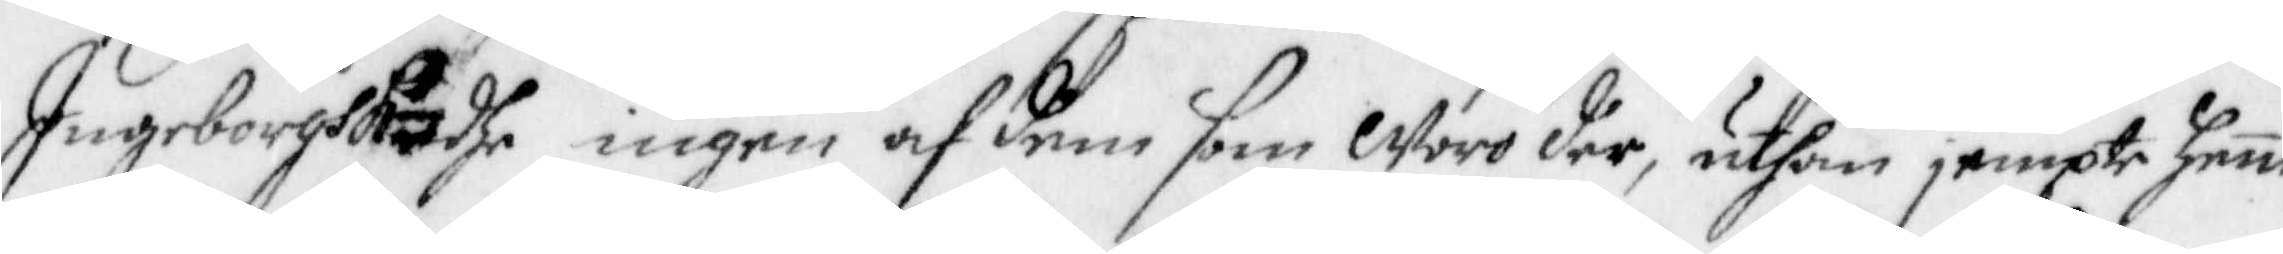Ingeborgh Kändhe ingen af dem som Woro der, uthan jempte hene
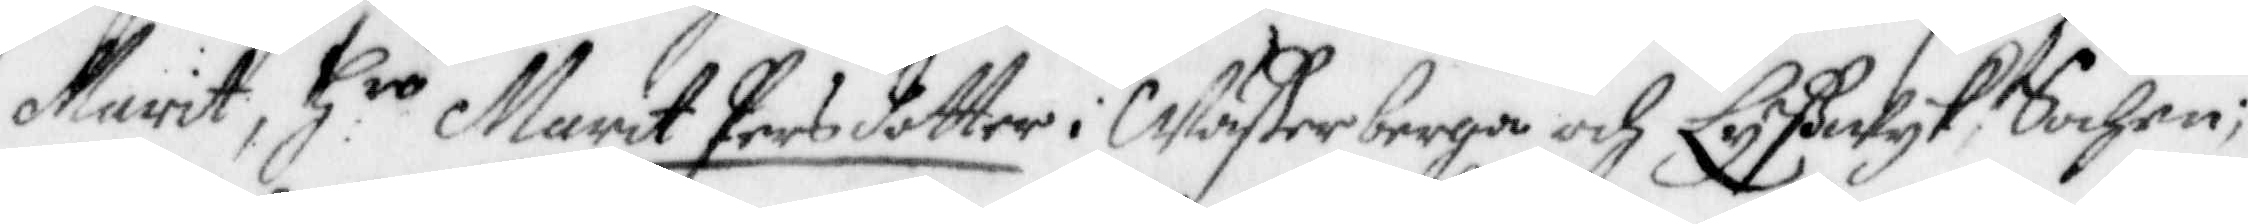Marit, Hro Marit Persdotter i Wäster berga och Lyßwyk Sochen;
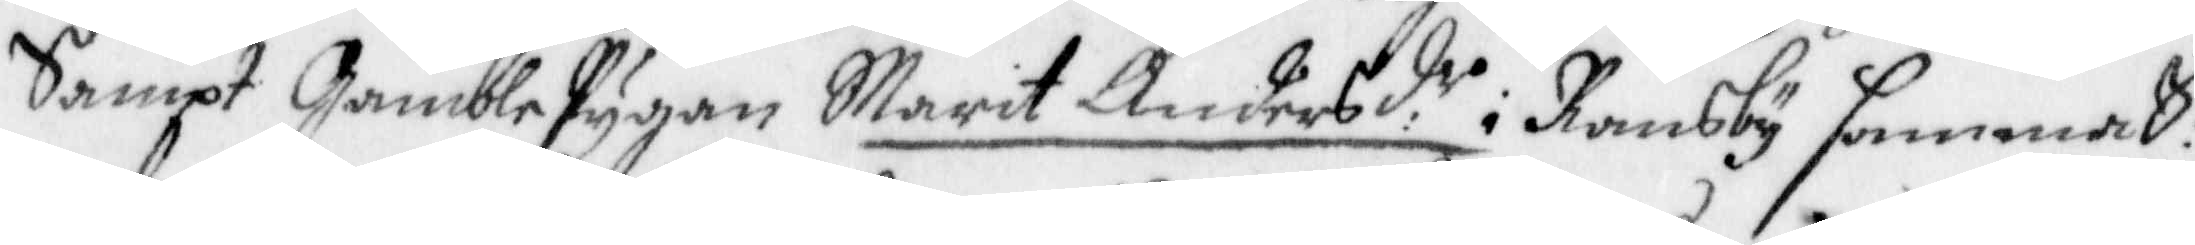Sampt Gamble Pygan Marit Andersd.r i Ransby samma S:n
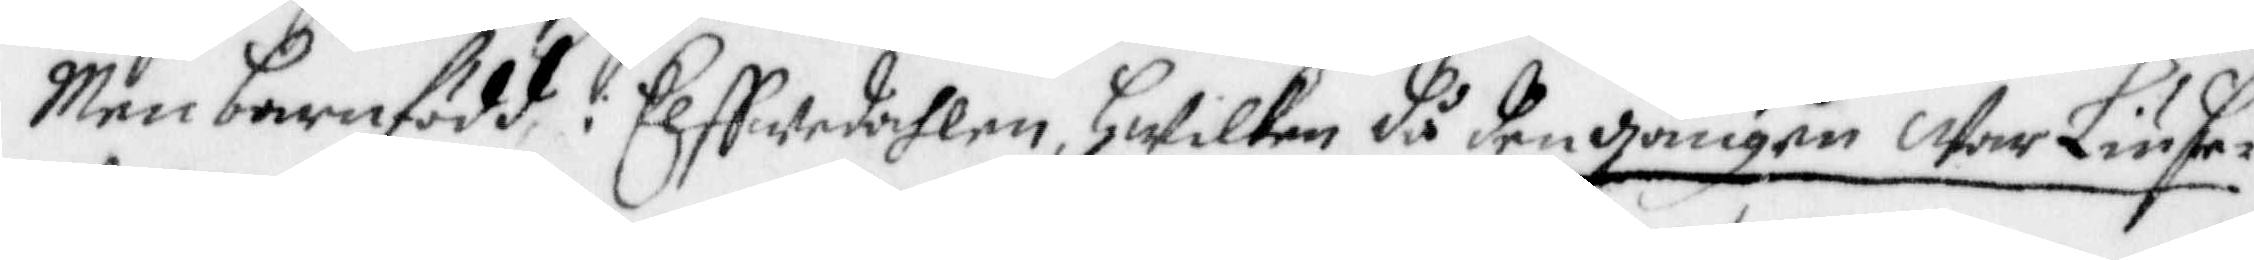Men barnfödd i Elffwedahlen, hwilken då den gången war Liuse¬
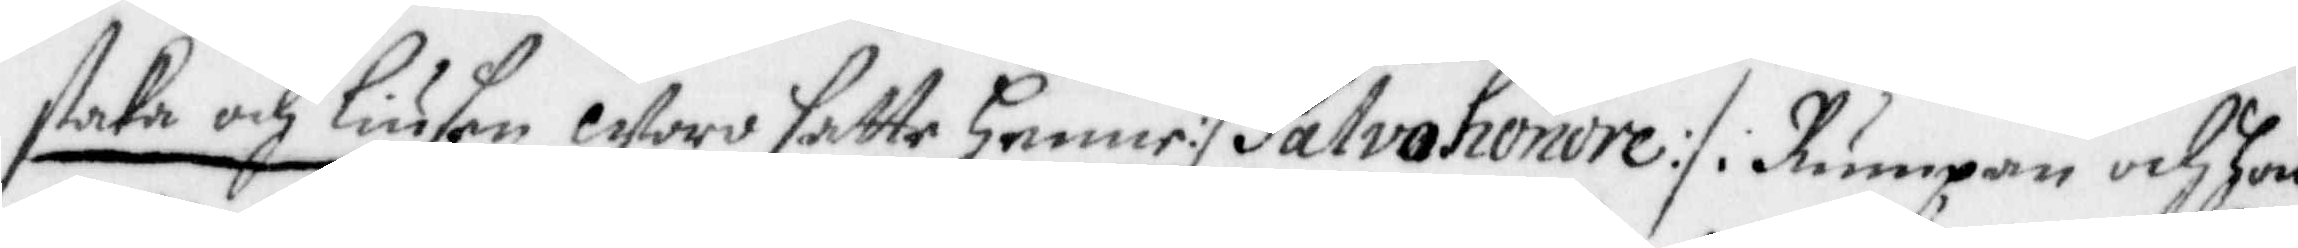staka och Liusen woro satte henne :/ Salvohonore :/: i Rumpan och hon
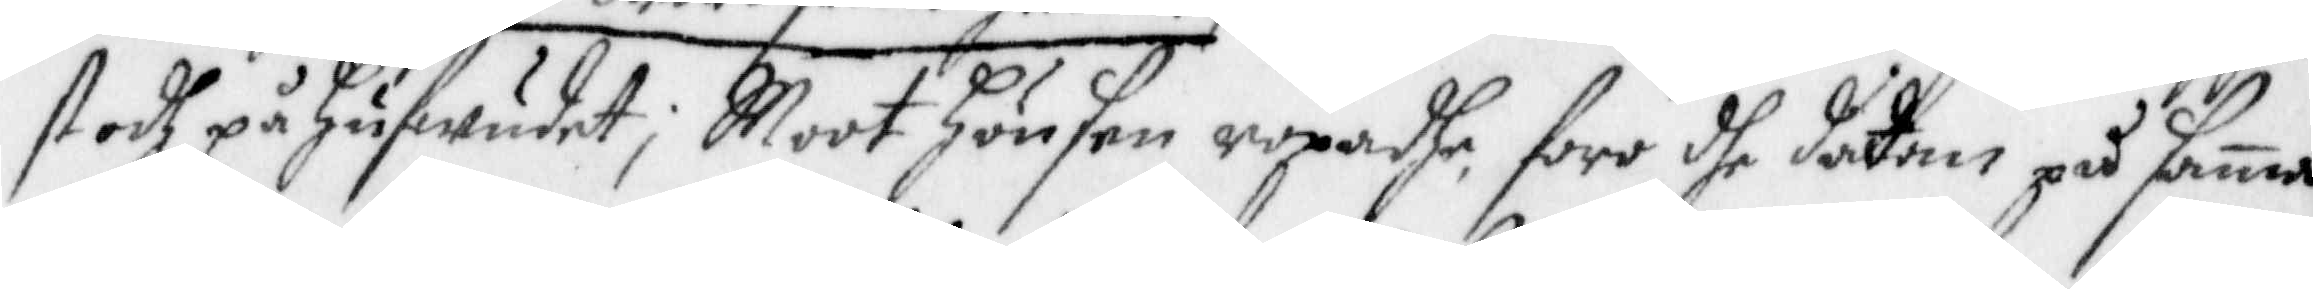stodh på hufwudet, Moot hönsen ropadhe, foro dhe dädan på sama
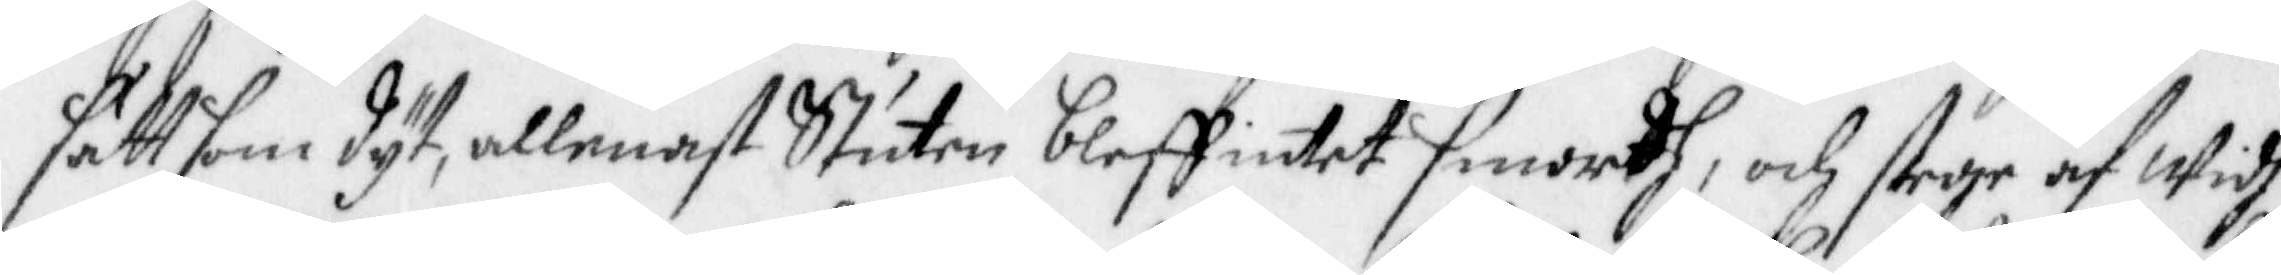sätt som dyt, allenast Stuten bleff intet smordh, och stege af Widh
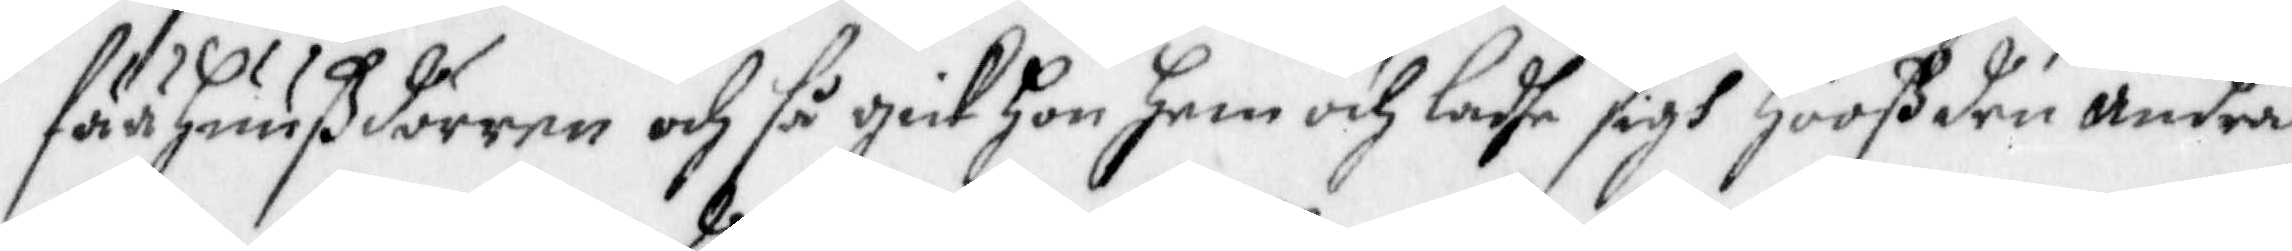fäähuußdörren och så gick hon hem och ladhe sigh Hooß den andra
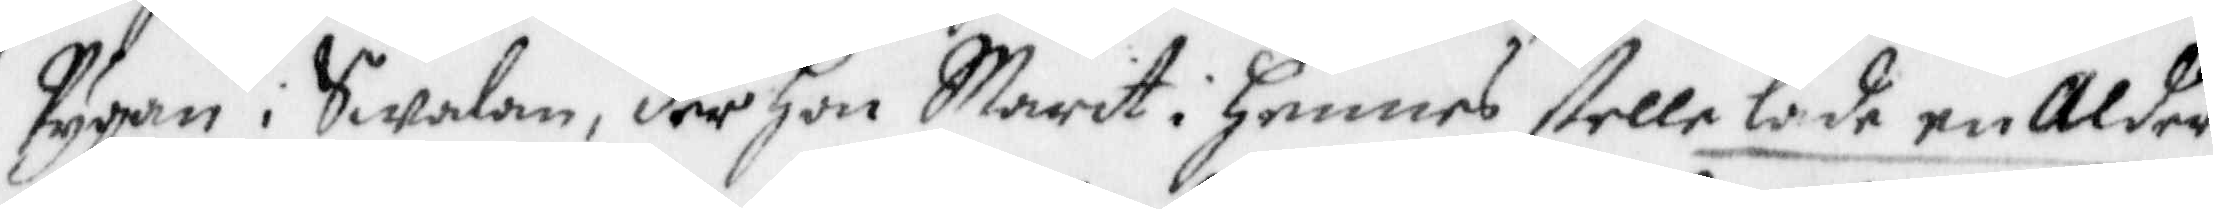Pygan i Swalan, der hon Marit i hennes stelle lade en Alder
